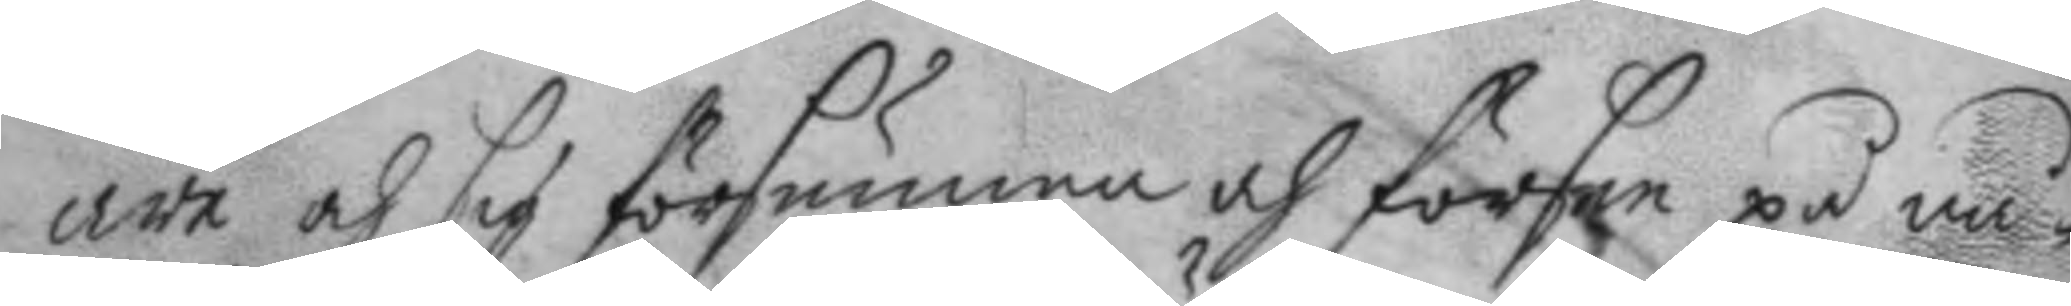äre och sig försumma och försee på nå¬
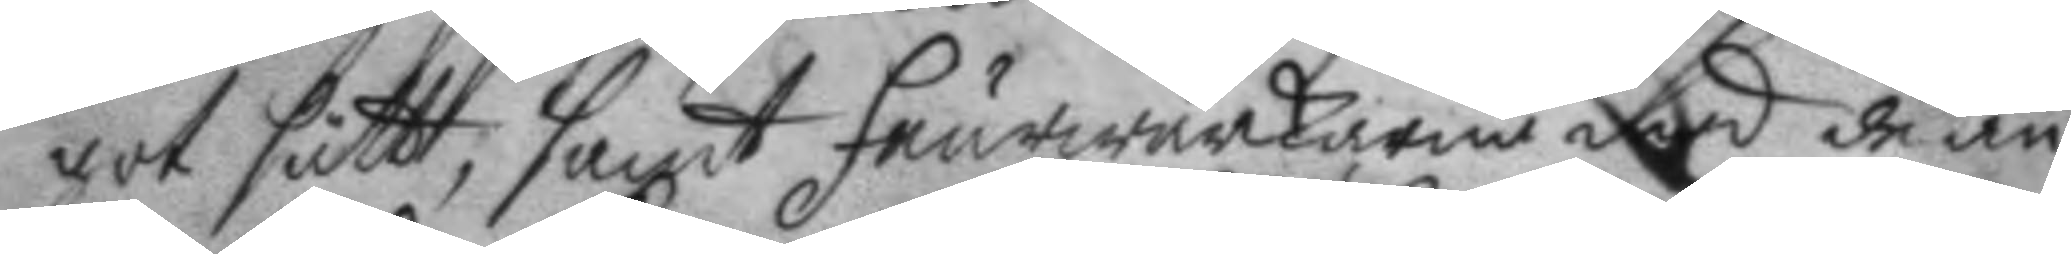got sätt, samt feurwärckaren med de an¬
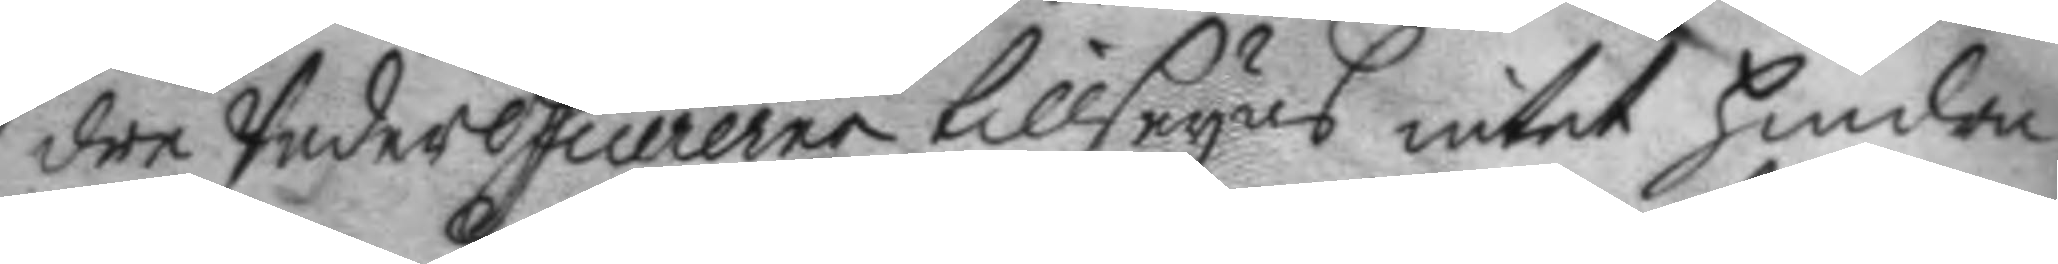dre Underofficererne tillseyas intet hindre
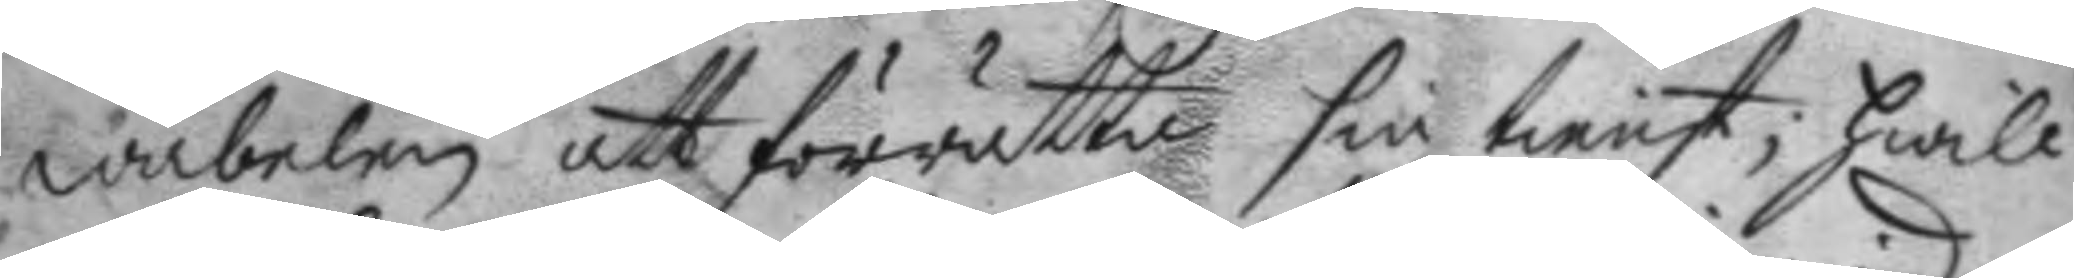wäbelen att förrätta sin tienst; hwilc¬
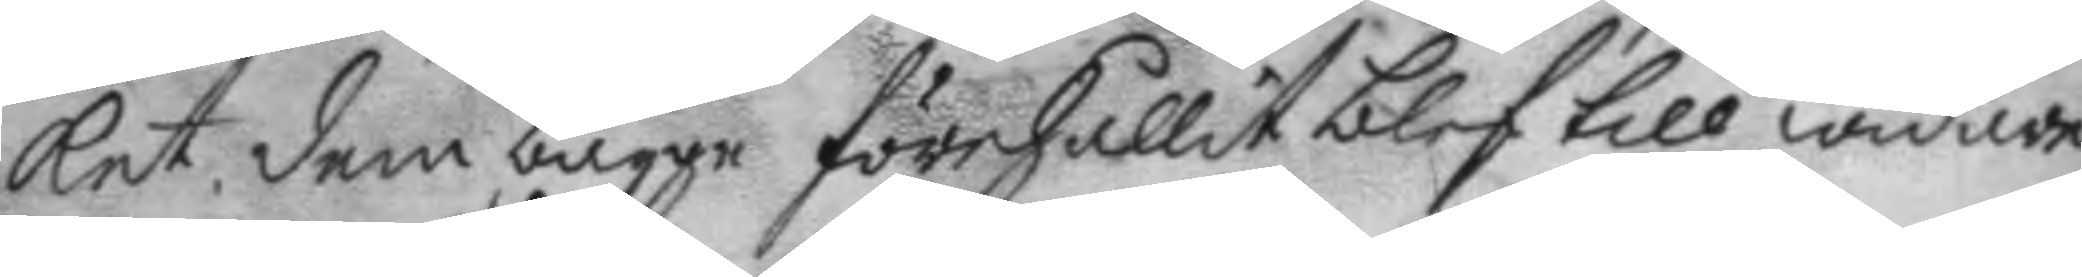ket dem bägge förehållit blef till widare
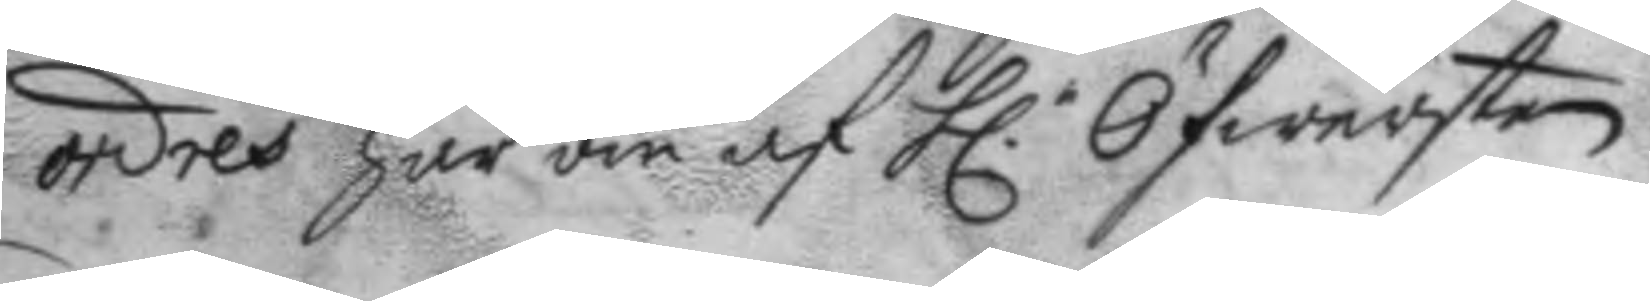ordres här om af h.r Öfwersten.
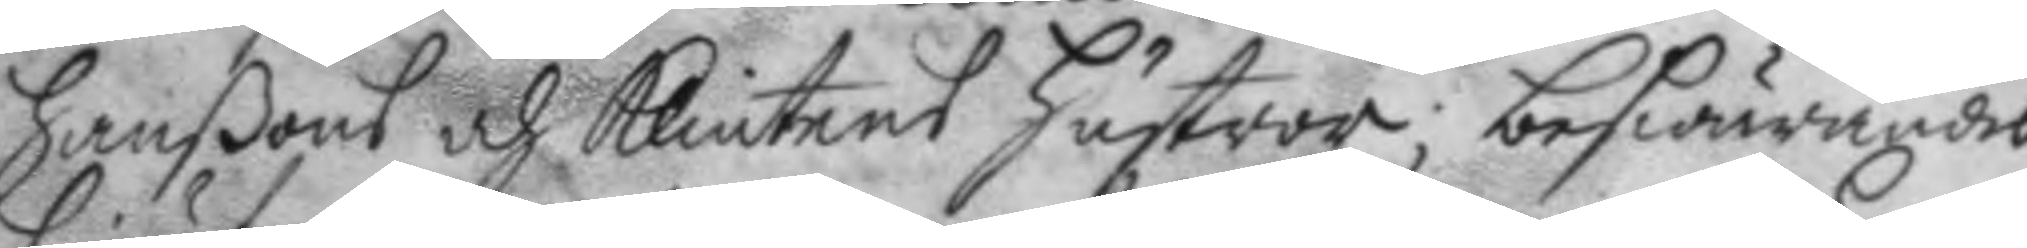hanßons och Klintens hustror; beswäandes
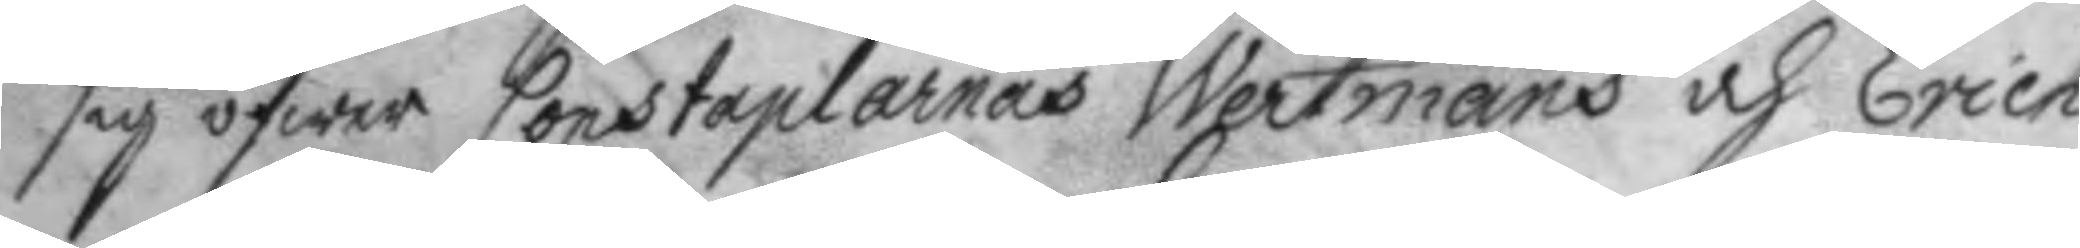sig öfwer Constaplarnas Westmans och Erich
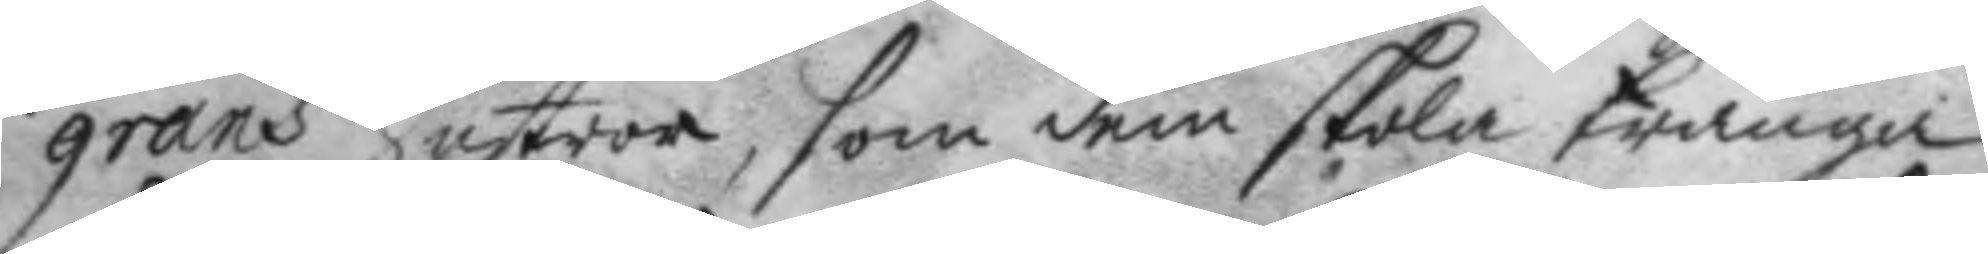grans hustror, som dem skola tränga
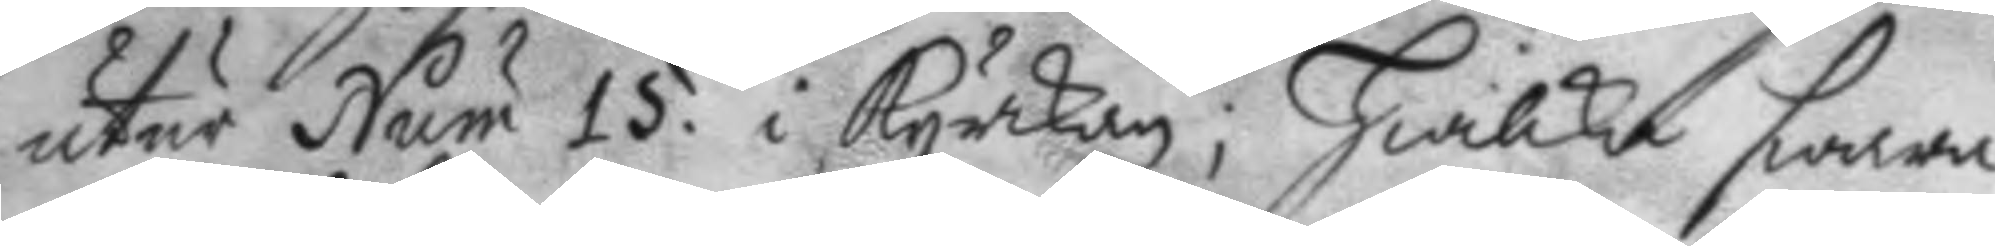utur Num 15. i kyrckan; hwilka swara
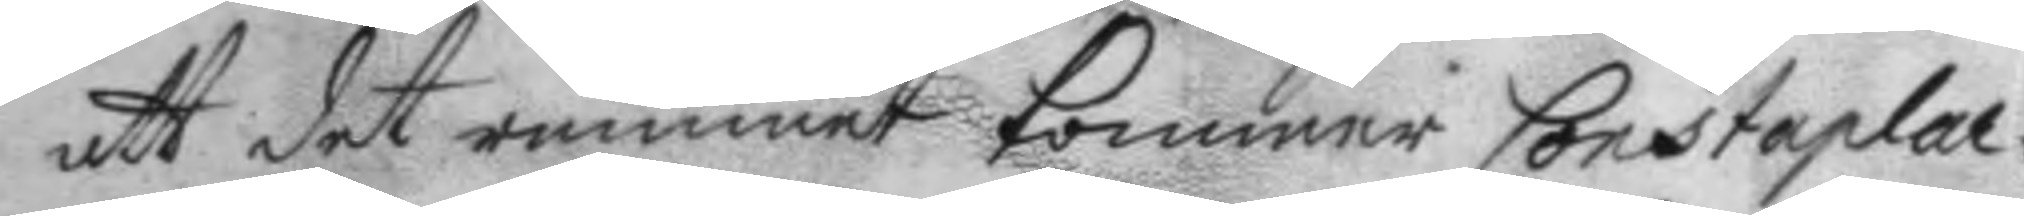att det rummet kommer Constaplar¬
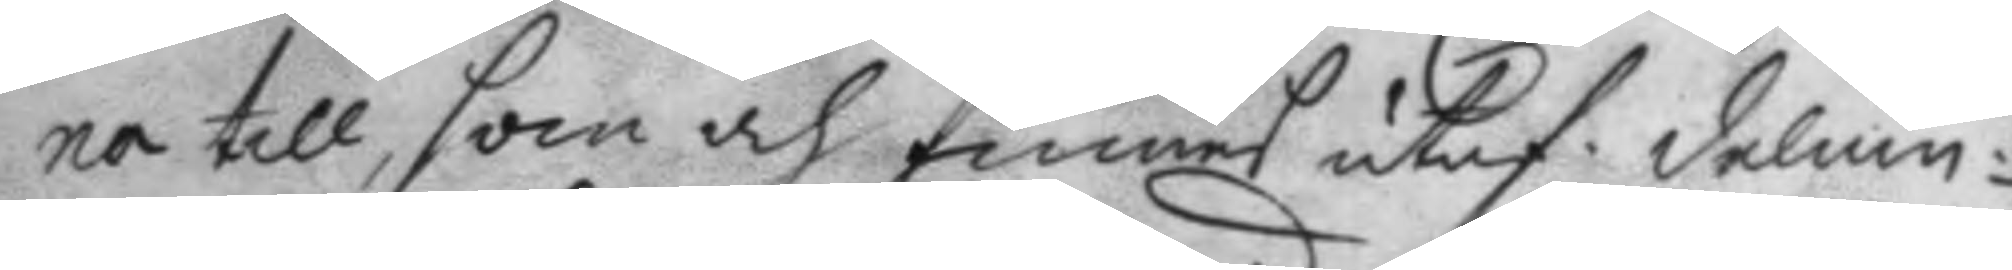na till, som och finnes utaf delnin¬
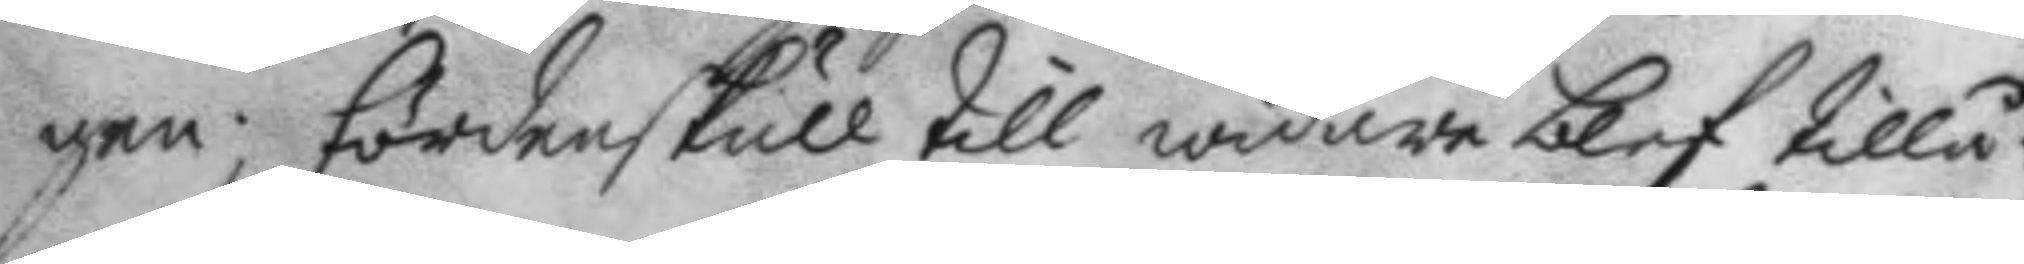gen; fördenskull till widare blef tillå¬
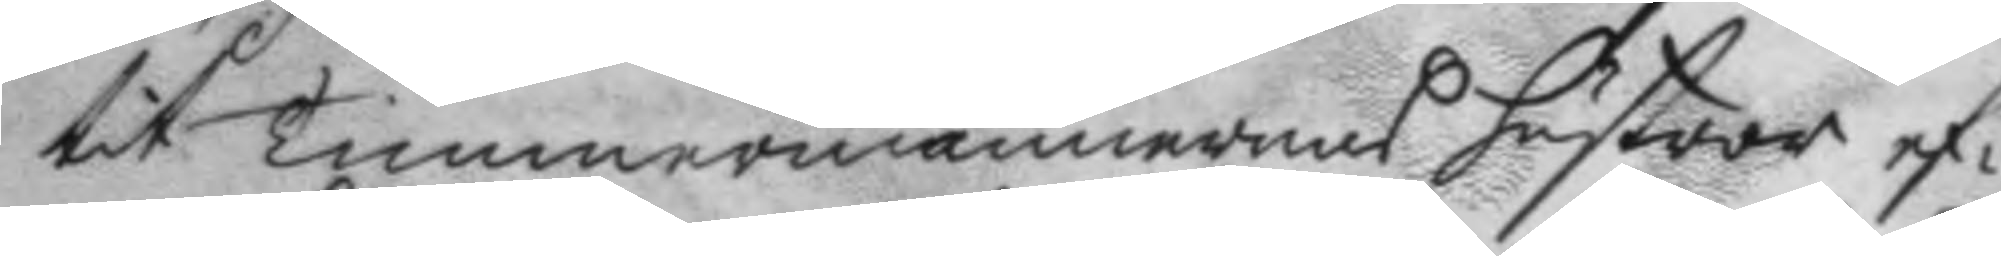tit Timmermännernas hustror ef¬
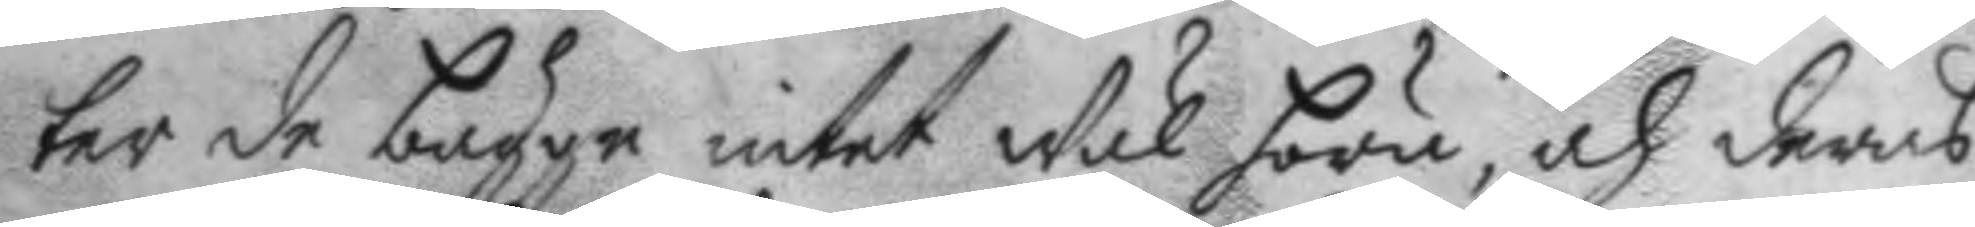ter de bägge intet Wäl höra, och deras
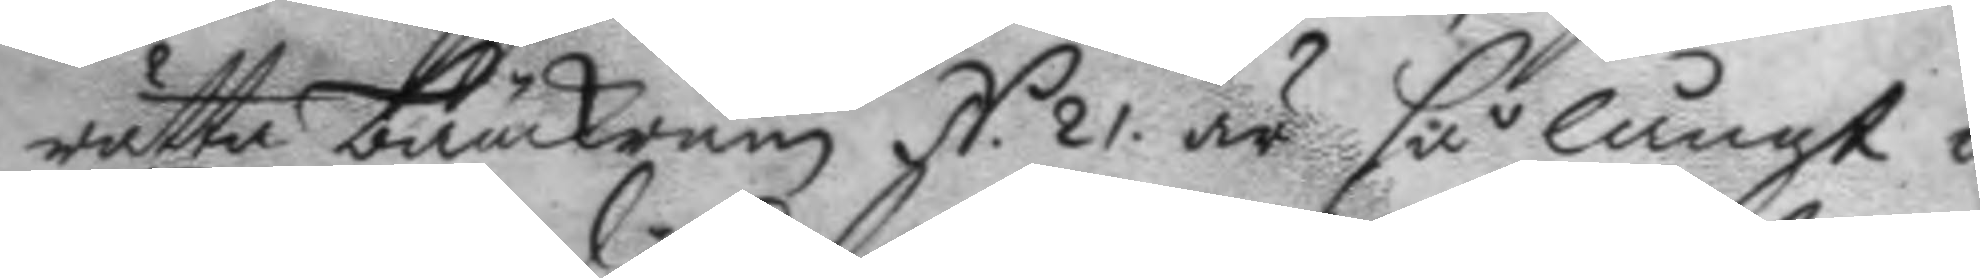rätta bänckrum N. 21 är så långt i¬
